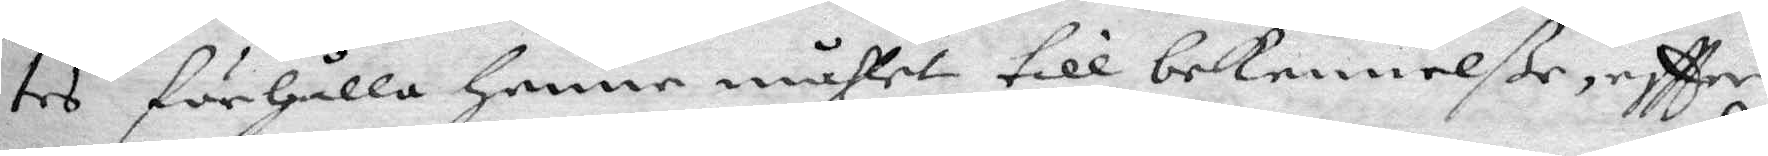tes förhålla henne måhlet till bekennelße, eftter
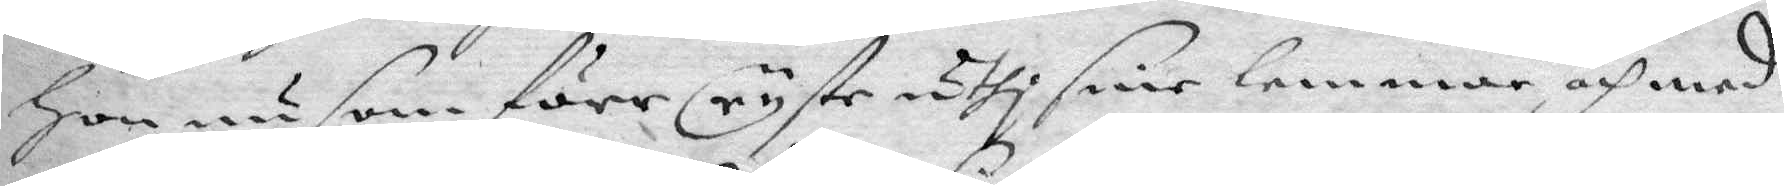Hon nu som förr ryste uthi sine lemmar och med
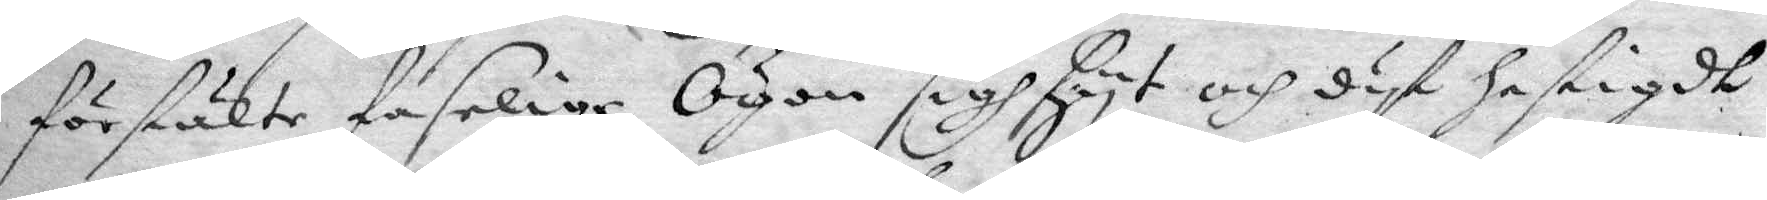förstälte faselige Ögon sigh hyt och dyt hastigdt
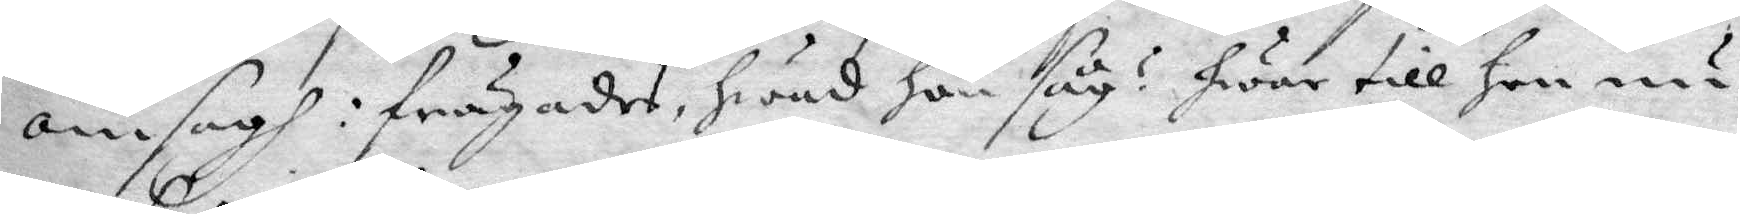omsagh: frågades, hwad hon såg? hwar till Hon nu
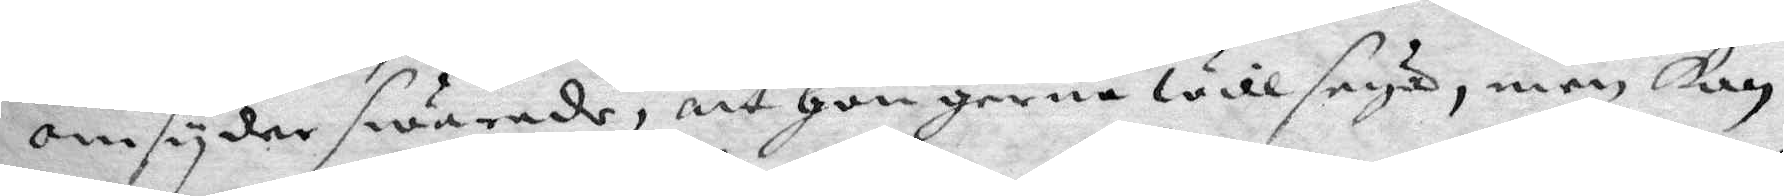omsyder swarade, att Hon gerna will seya, men kan
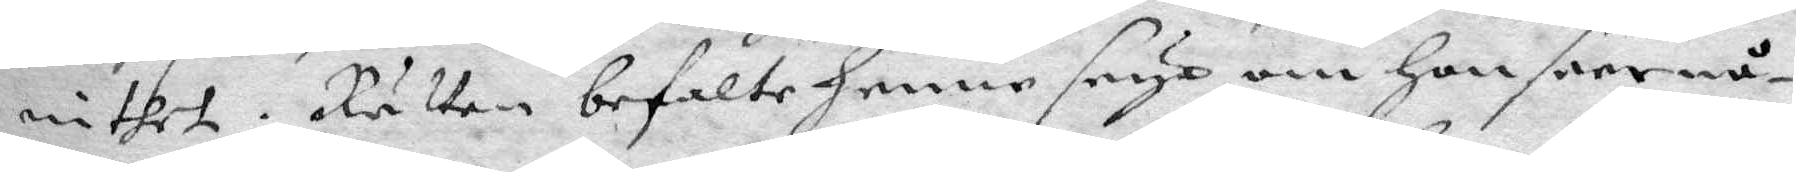inthet. Rätten befalte henne seya om Hon seer nå¬
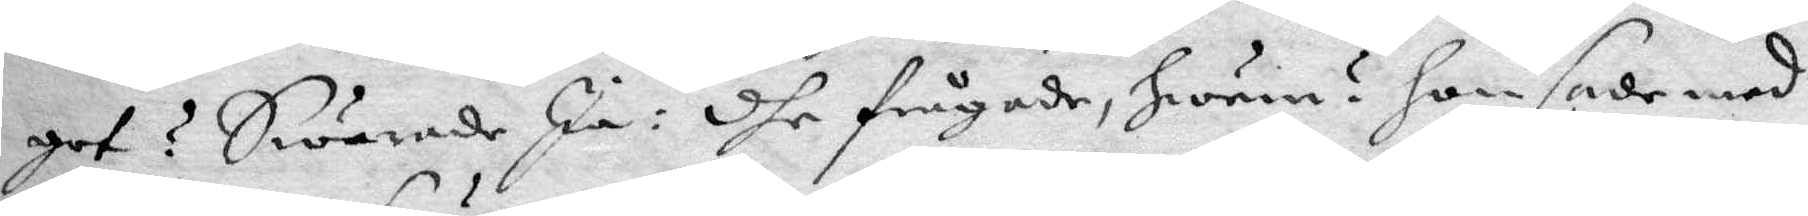get? Swarade Ja: dhe frågade, hwem? hon sade med
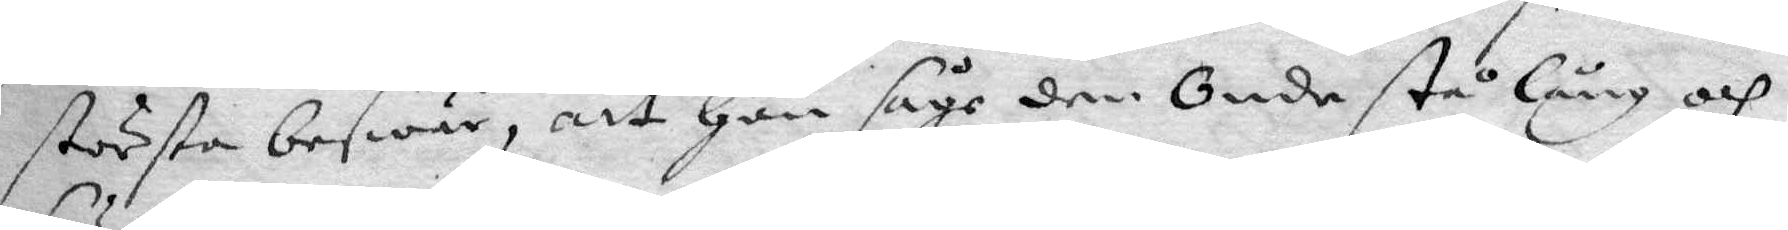största beswär, att Hon såge den Onde stå lång och
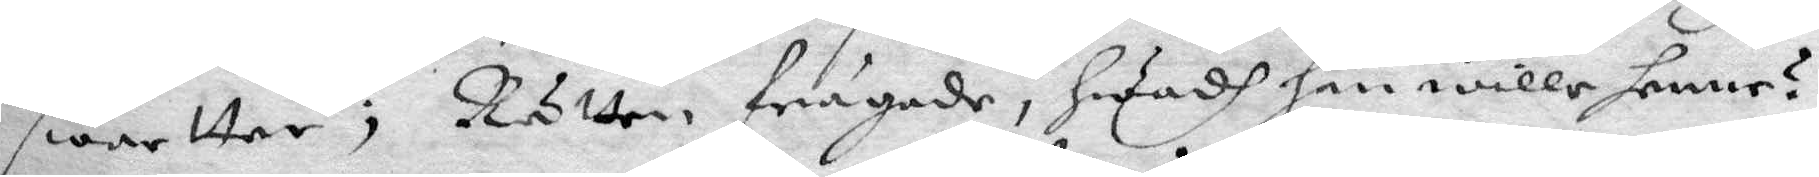swartter; Rätten frågade, hwadh han wille henne?
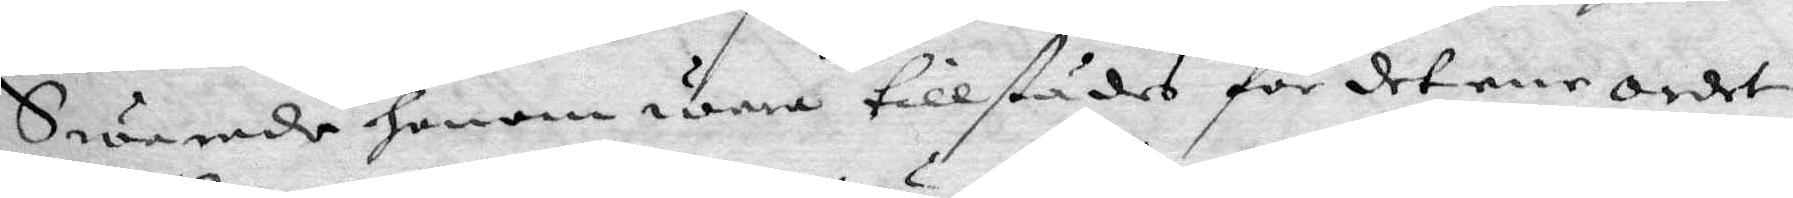Swarade honom wara tillstädes för det ena ordet,
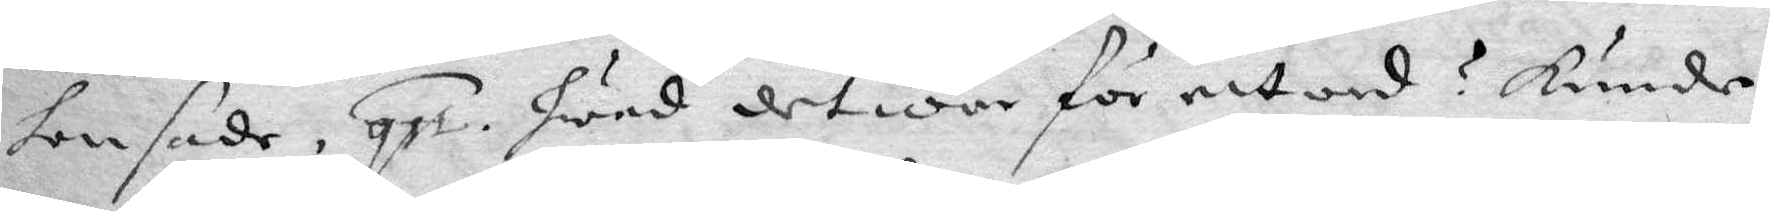hon sade, qst. Hwad det war för ett ord? kunde
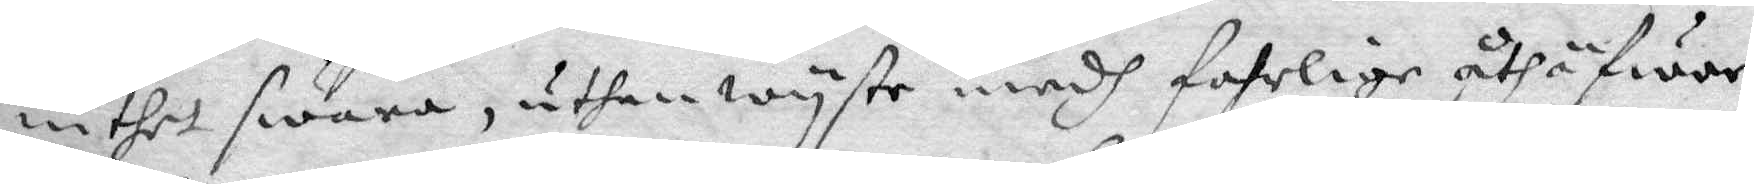inthet swara, uthan wyste medh fahrlige åthäfwor
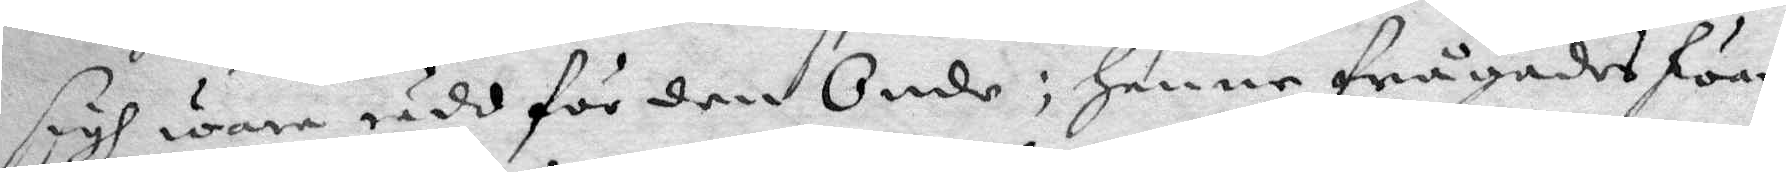sigh wara rädd för den Onde; henne frågades hwar
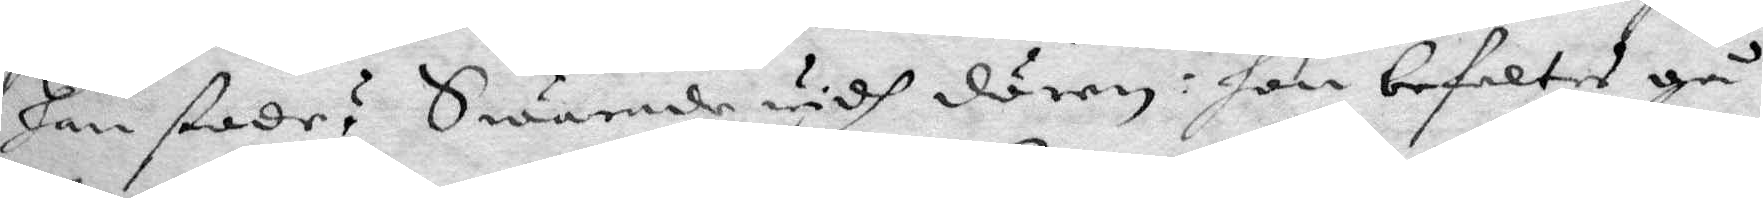han stode? Swarade widh dörren: hon befaltes gå
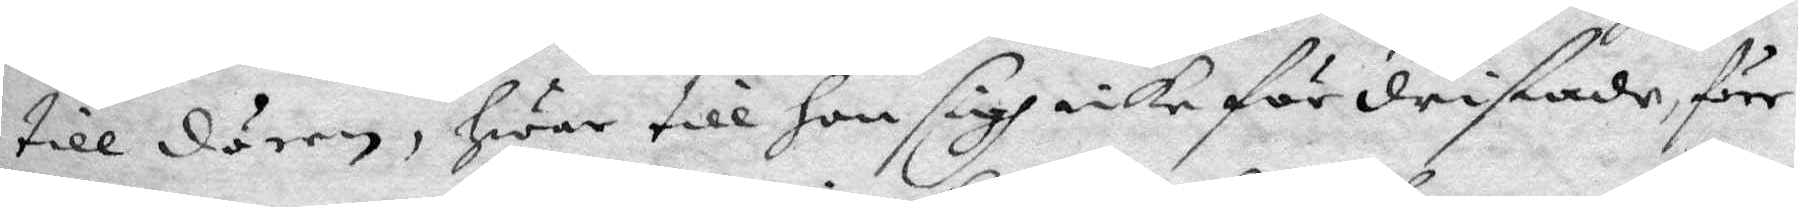till dörren, hwar till hon sigh icke fördristade, förr
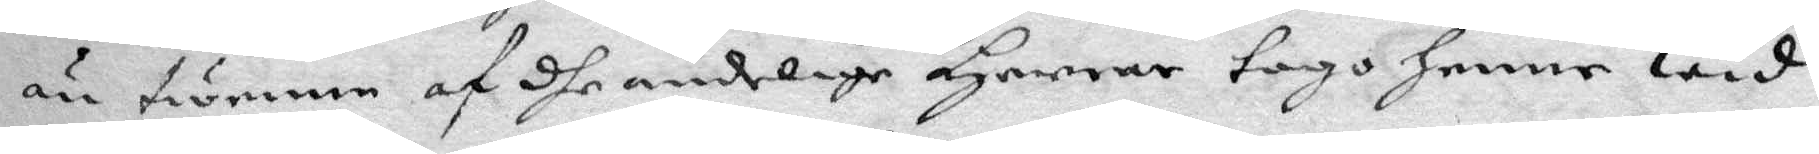än twenne af dhe andelige Herrar togo henne wid
